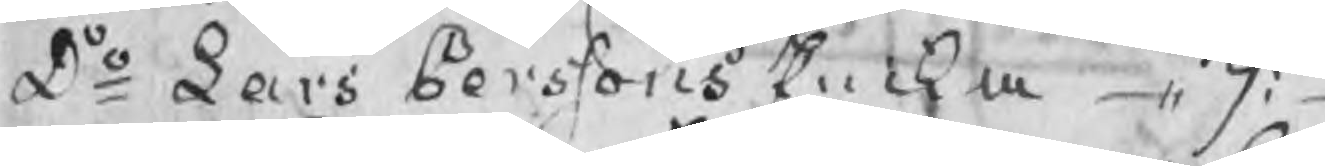Do Lars Perssons Encka ,, 9:
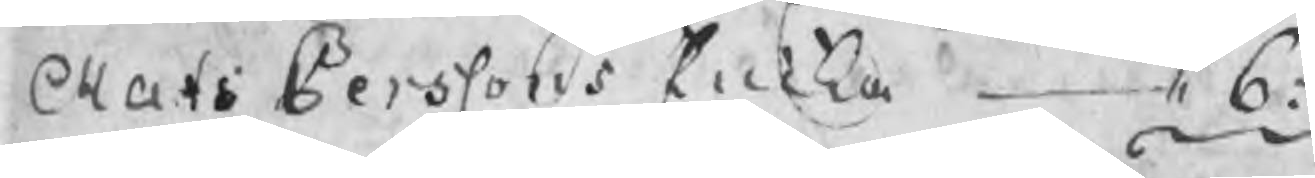Matspoo Perssons Encka ,, 6:
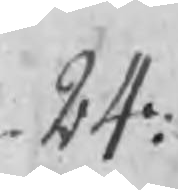24:
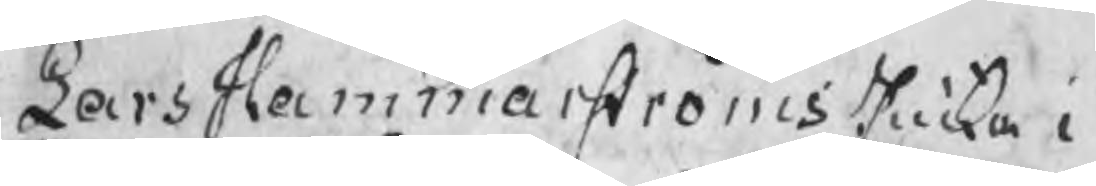Lars Hammarströms Enka i
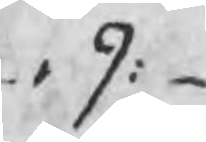,, 9:
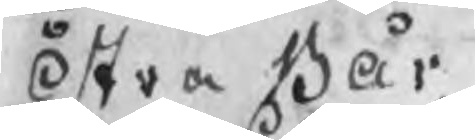Östra Bår
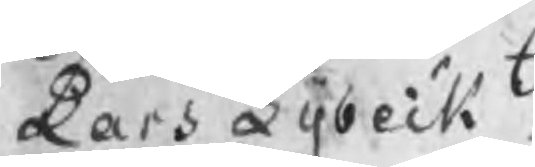Lars Lybeck
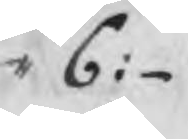,, bbbb6:
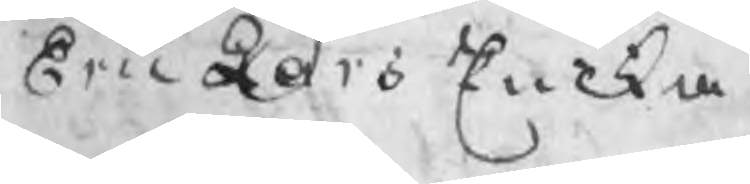Eric Lars Encka
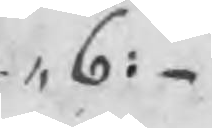,, 6:
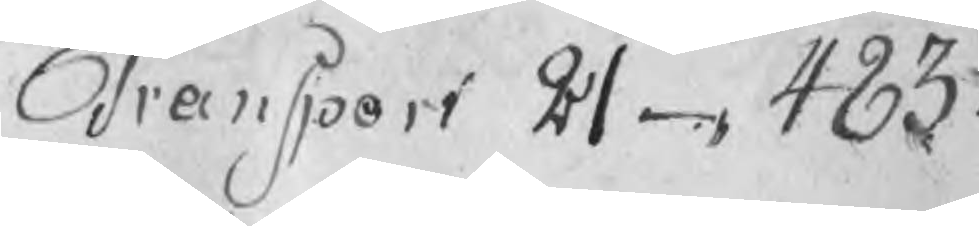Transport 21 483:
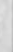48
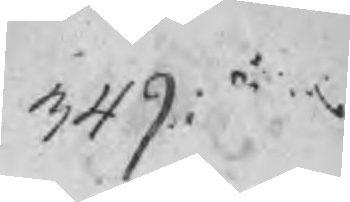349
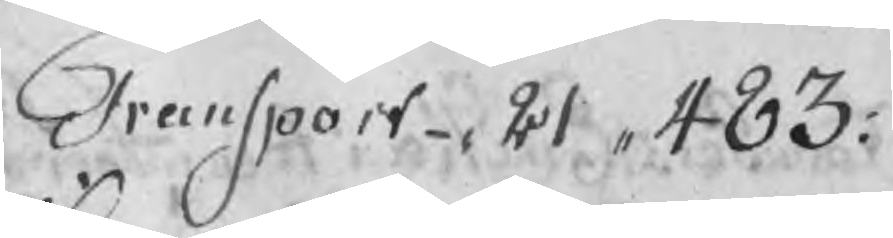Transport 21 ,, 483:
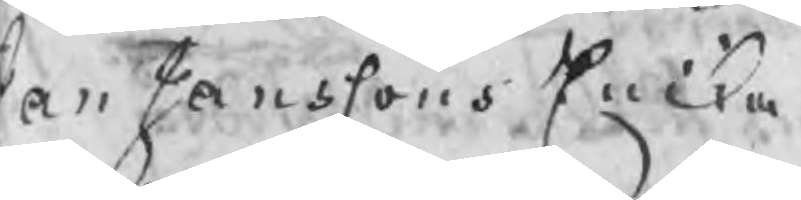Jan Janssons Encka
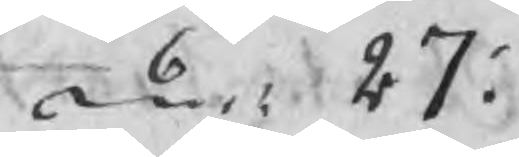6: 27:
